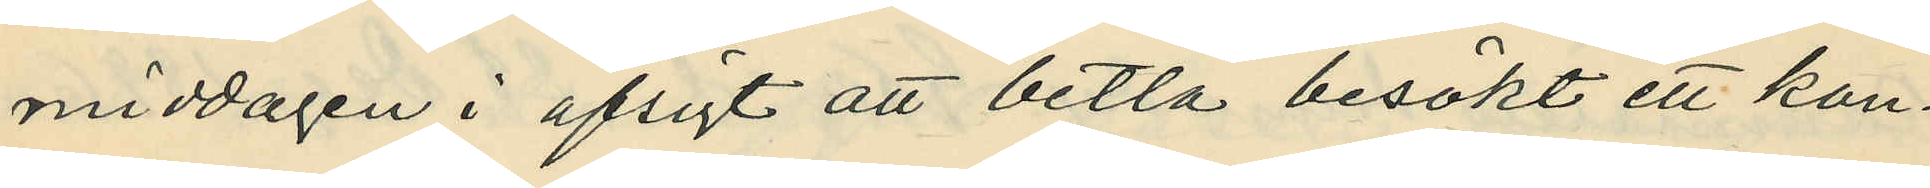middagen i afsigt att betla besökt ett kon¬
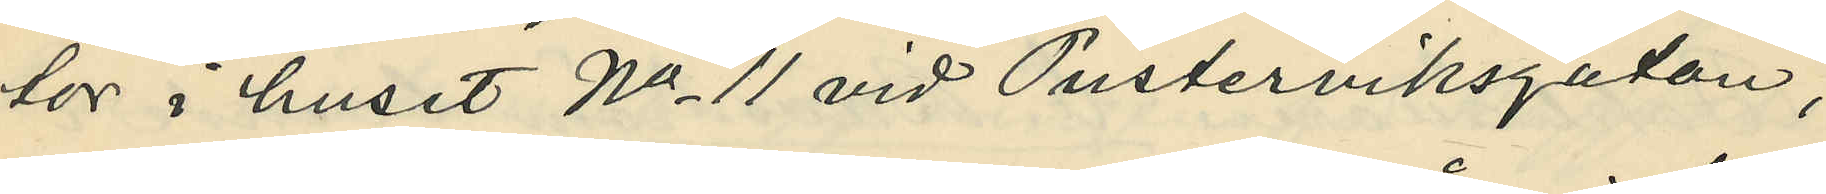tor i huset No 11 vid Pusterviksgatan;
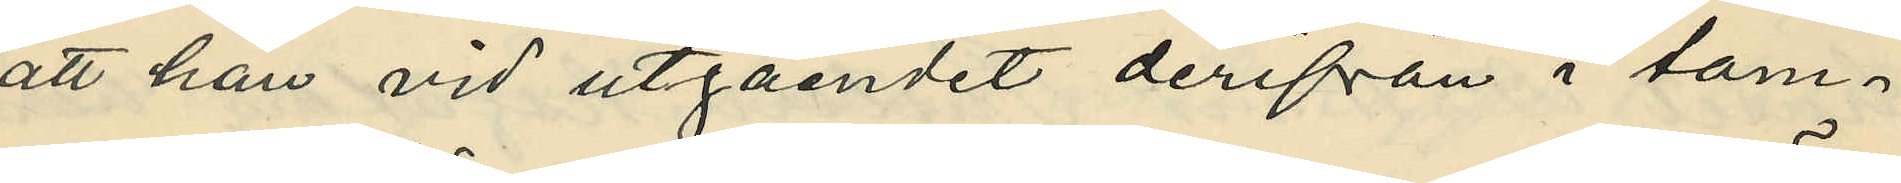att han vid utgåendet derifrån i tam¬
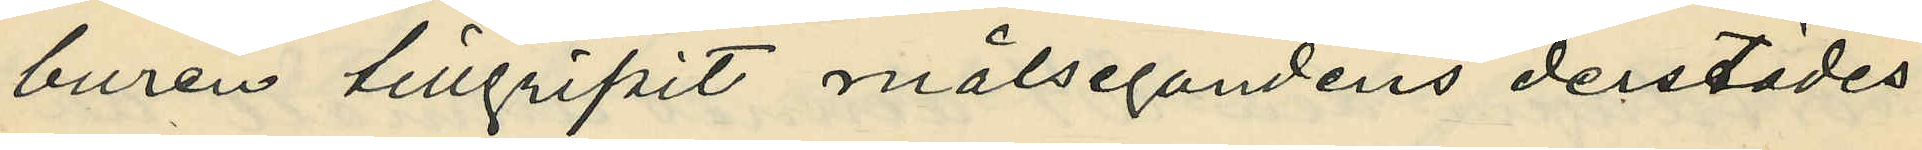buren tillgripit målsegandens derstädes
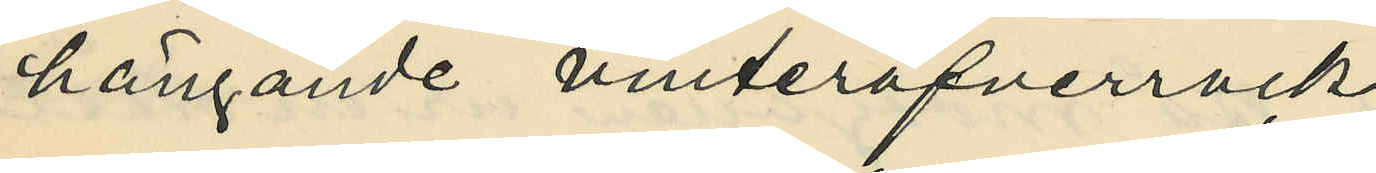hängande vinteröfverrock;
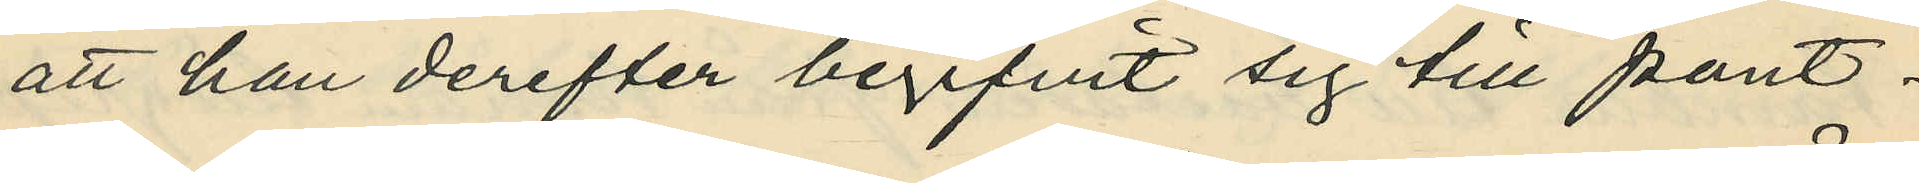att han derefter begifvit sig till pant¬
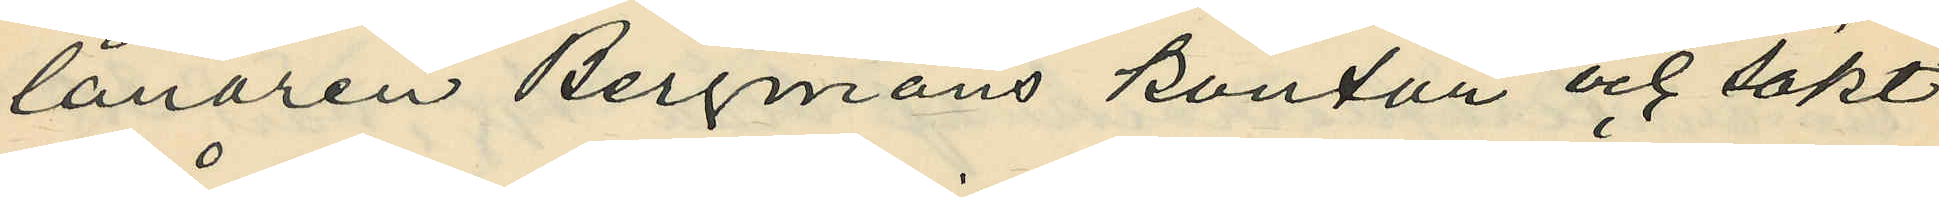lånaren Bergmans kontor och sökt
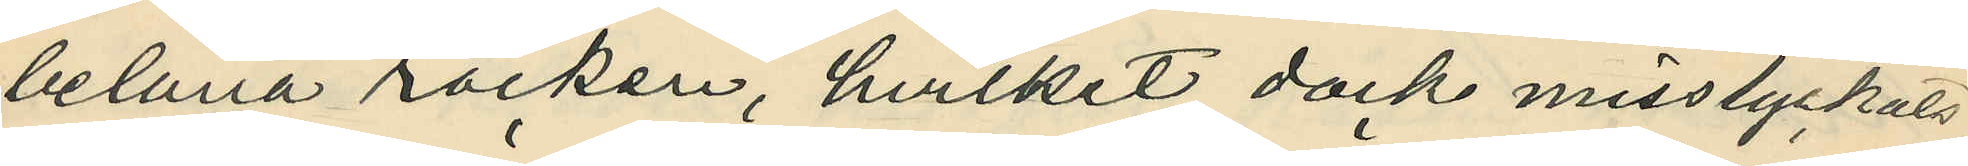belåna rocken, hvilket dock misslyckats;
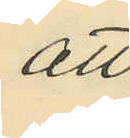att
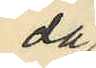då
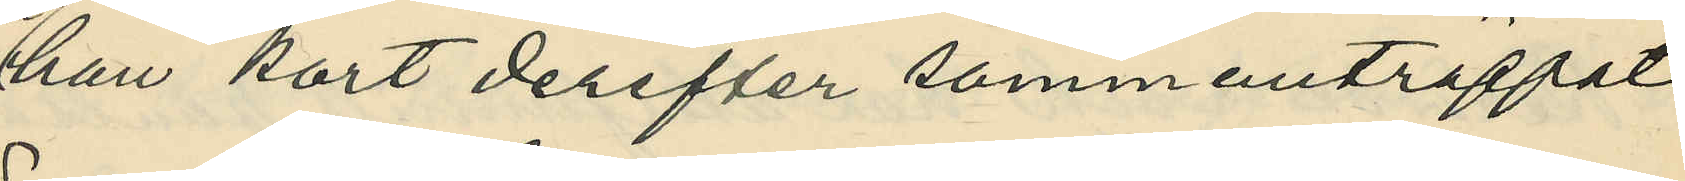han kort derefter sammanträffat
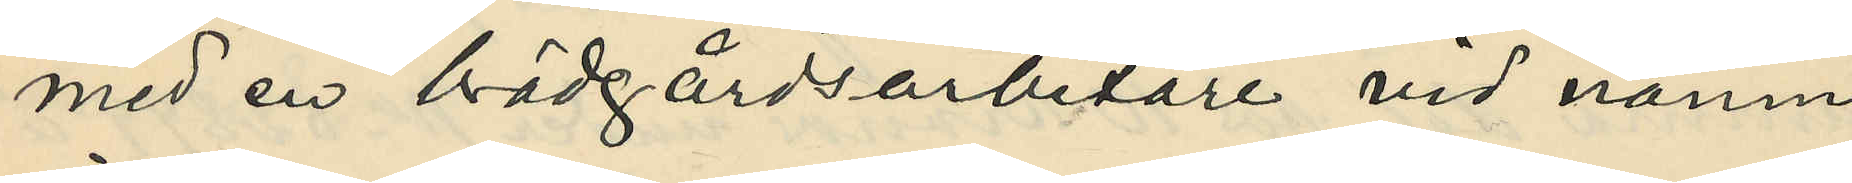med en brädgårdsarbetare vid namn
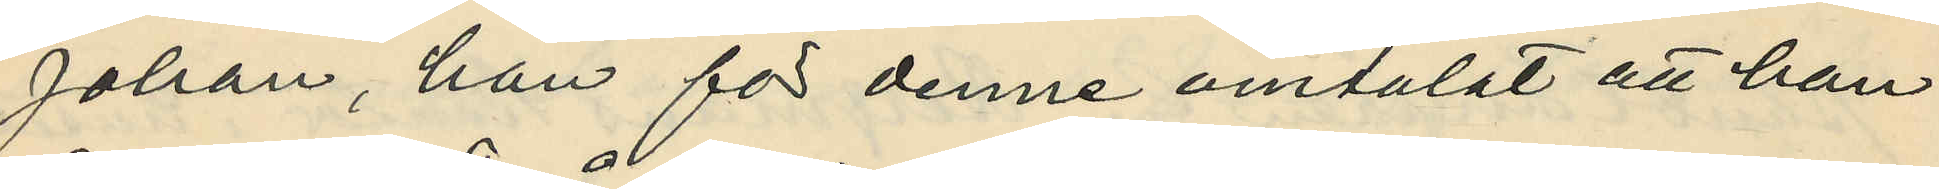Johan, han för denne omtalat att han
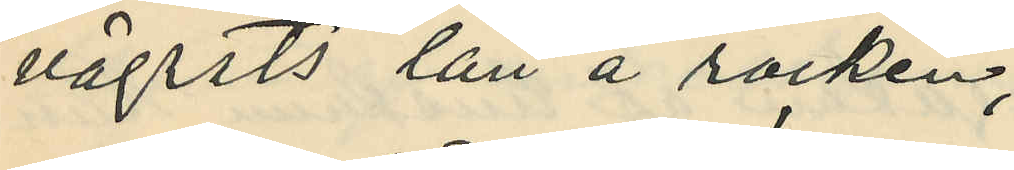vägrats lån å rocken;
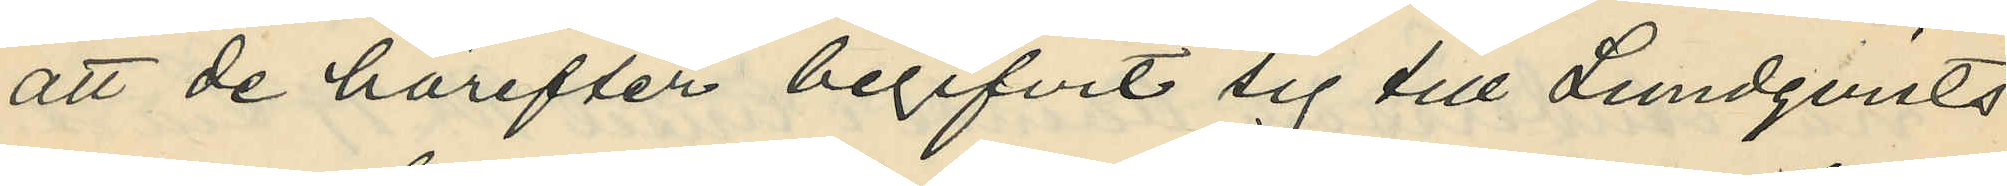att de härefter begifvit sig till Lundqvists
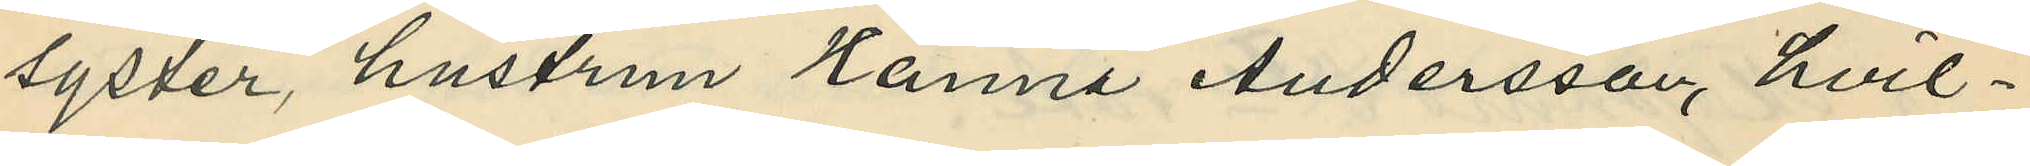syster, hustrun Hanna Andersson, hvil¬
